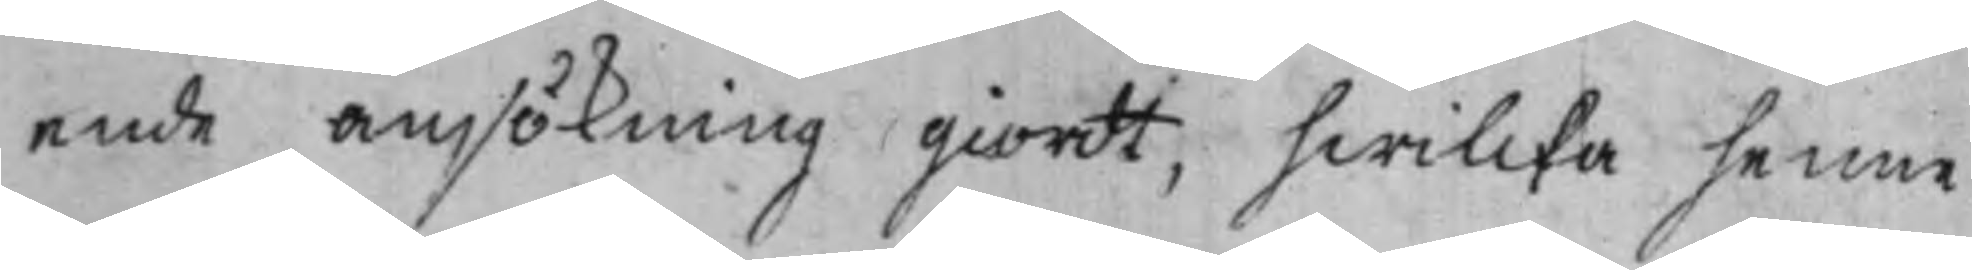ende ansökning giordt, hwilcka henne
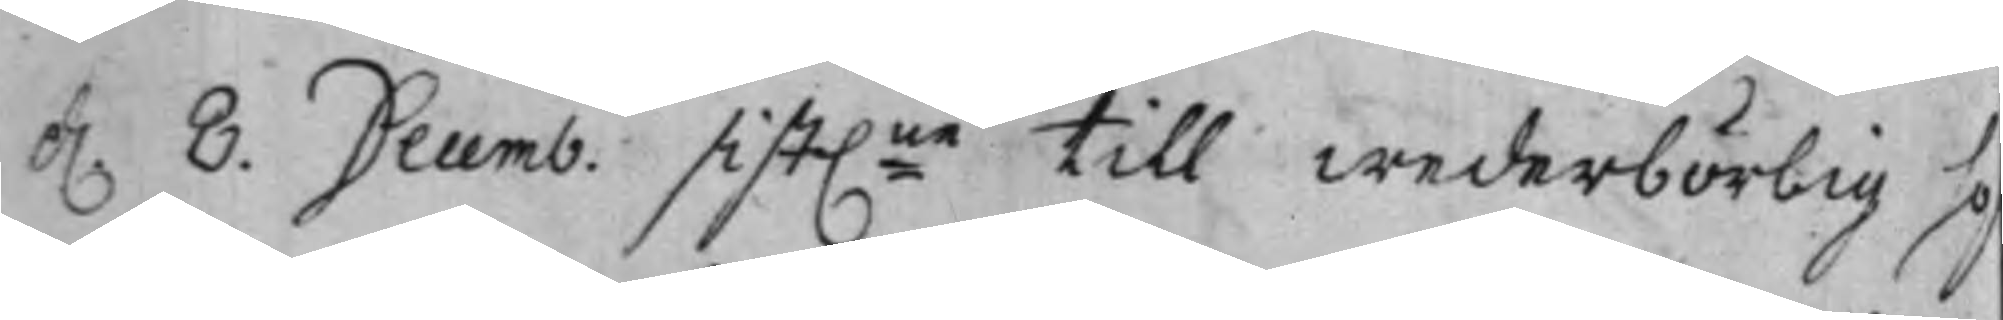d. 8. Decemb. sist:ne till wederbörlig ho¬
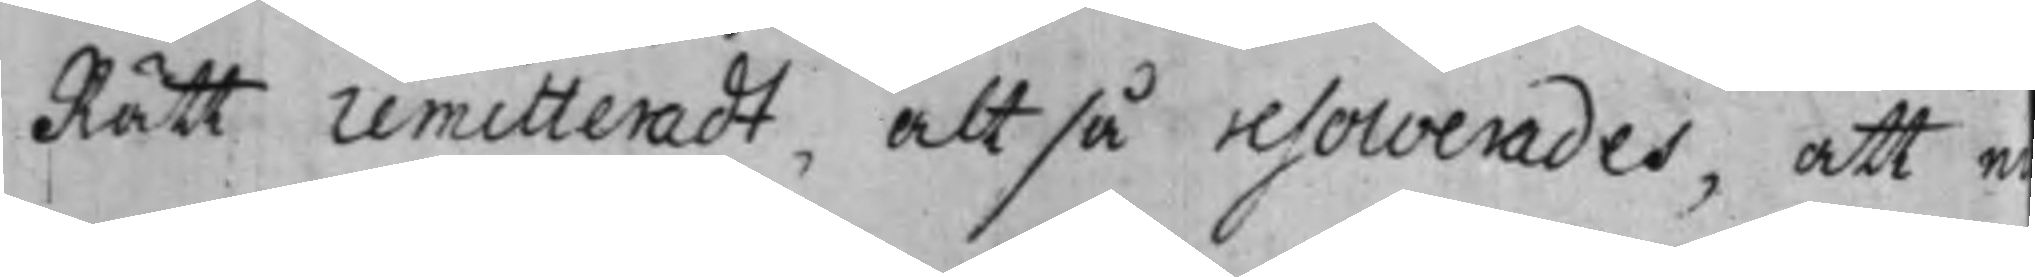Rätt remitteradt, altså resolverades, att ne¬
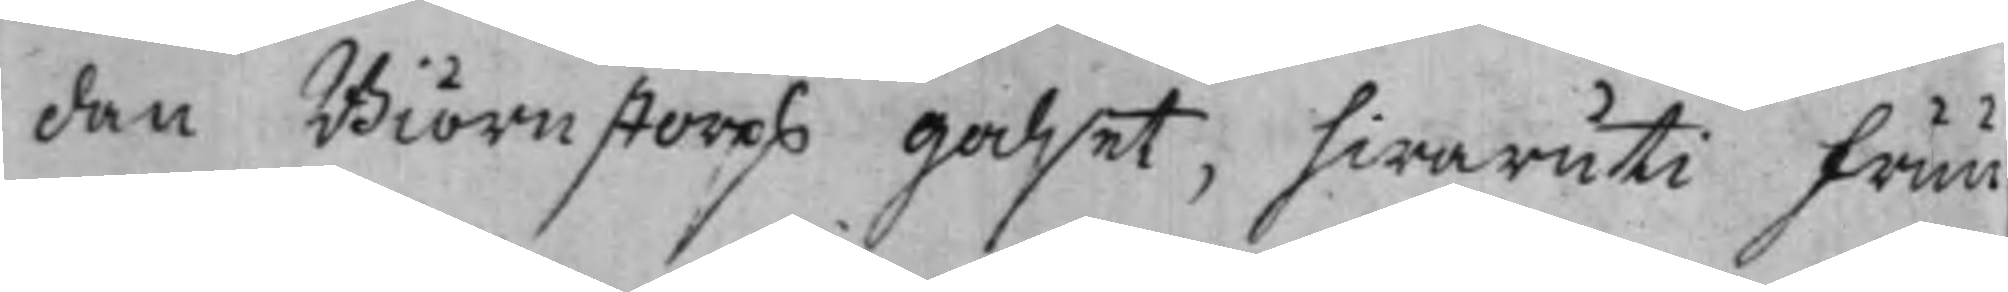dan Biörnstorps Godset, hwaruti Fruu
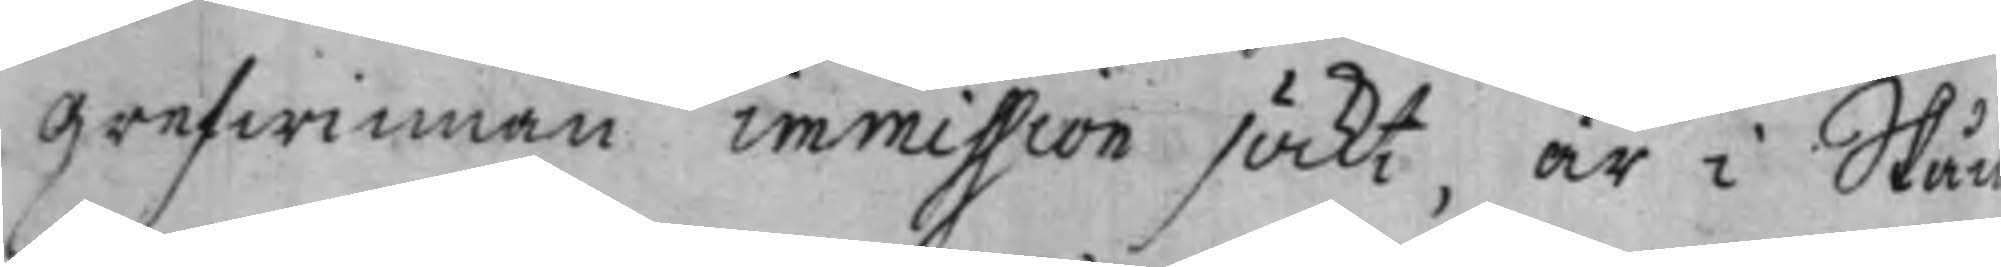Grefwinnan immission söckt, är i Skån
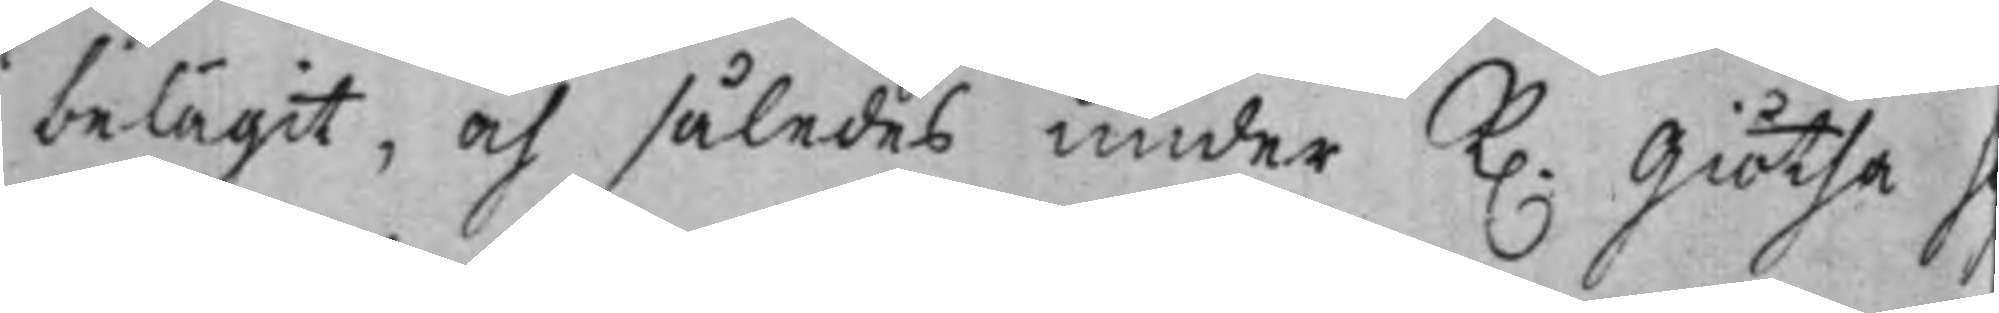belägit, och således under K. Giötha, 
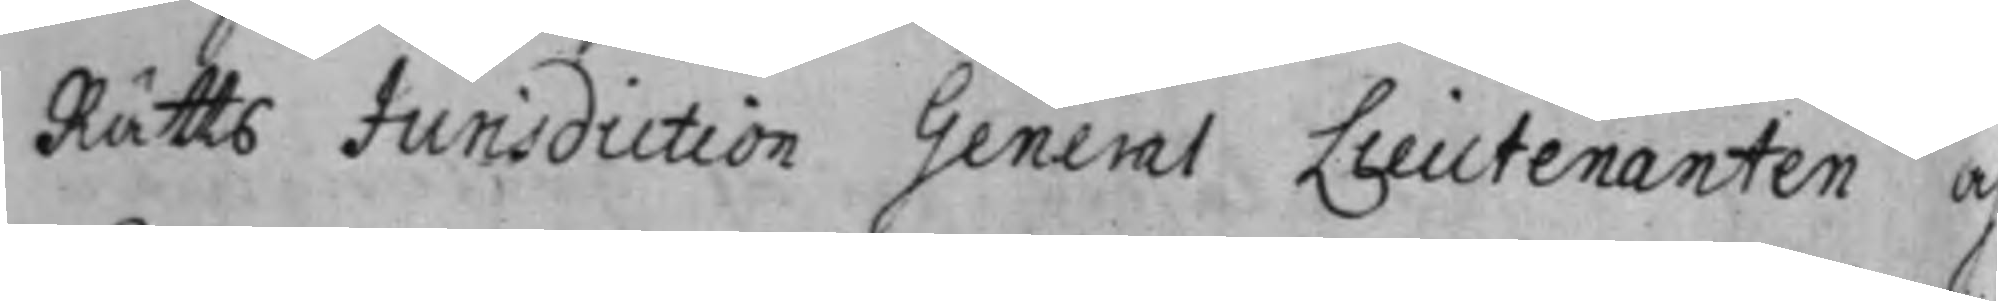Rätts Jurisdiction General Lieutenanten o
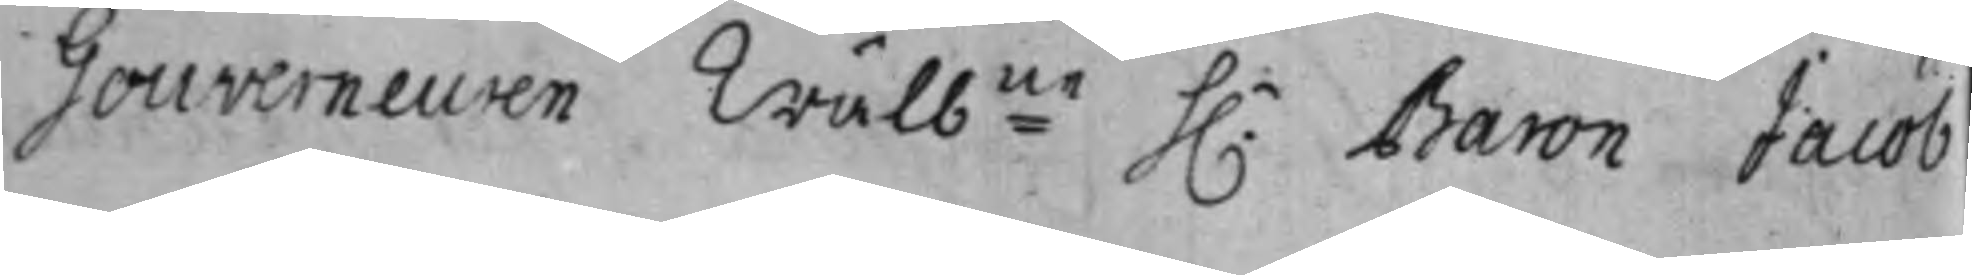Gouverneuren Wälb:ne h.r Baron Jacob
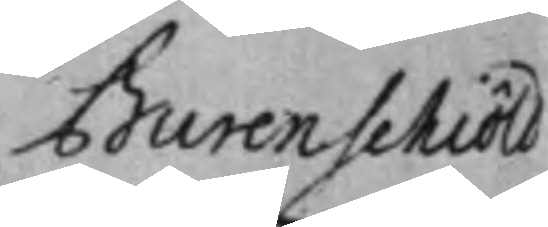Burenschiöld
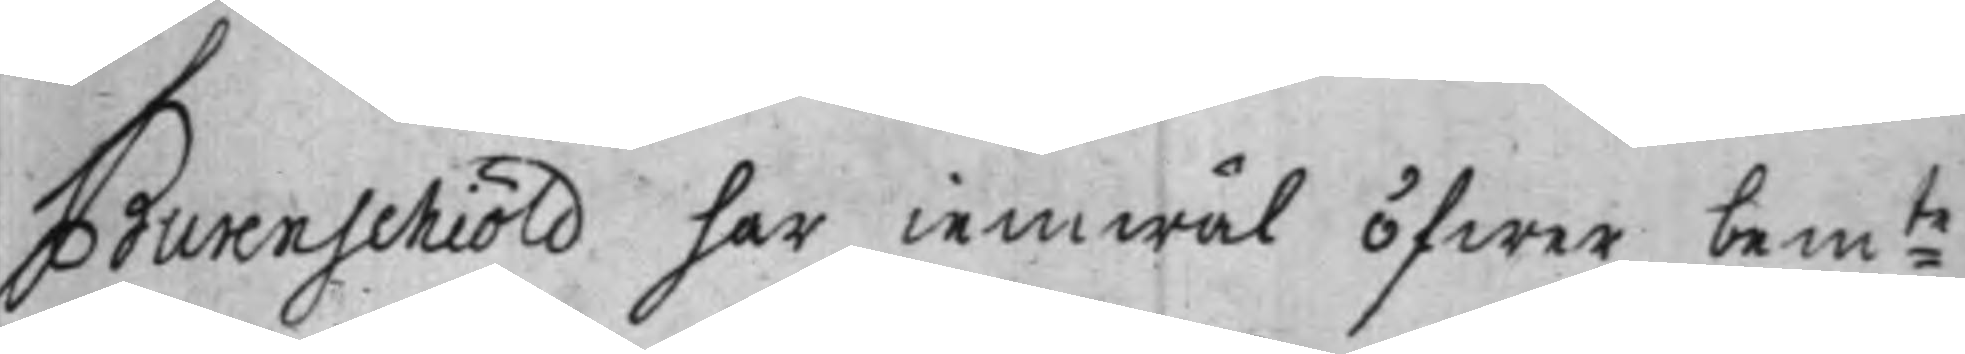Burenschiöld har iemväl öfwer bem:te
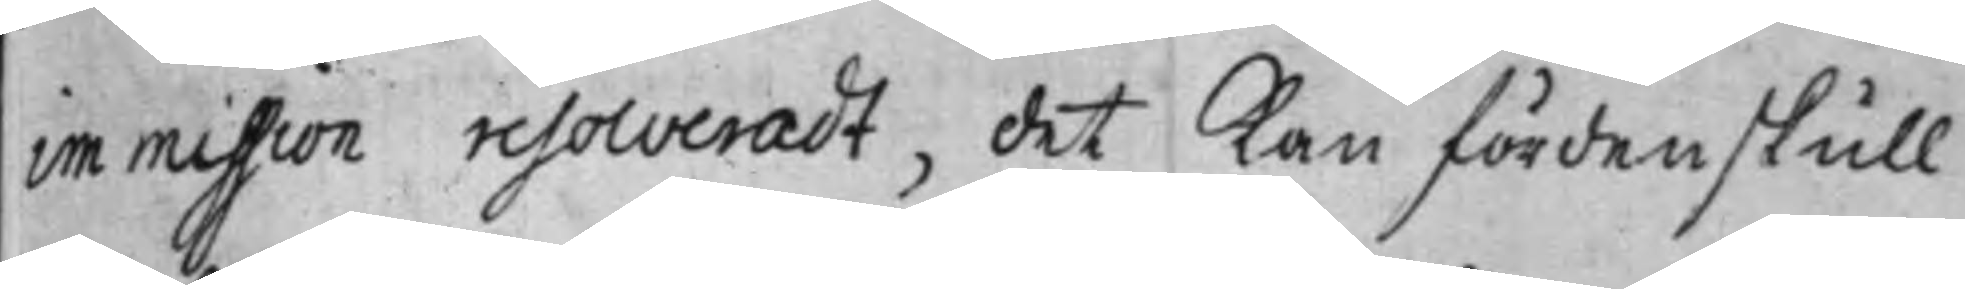immission resolveradt, det Kan fördenskull
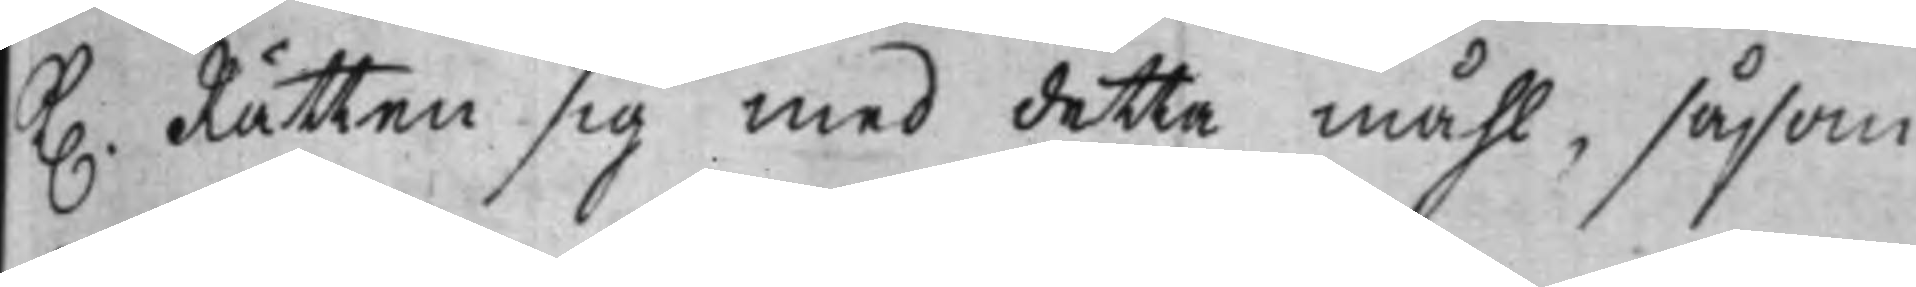K. Rätten sig med detta måhl, såsom
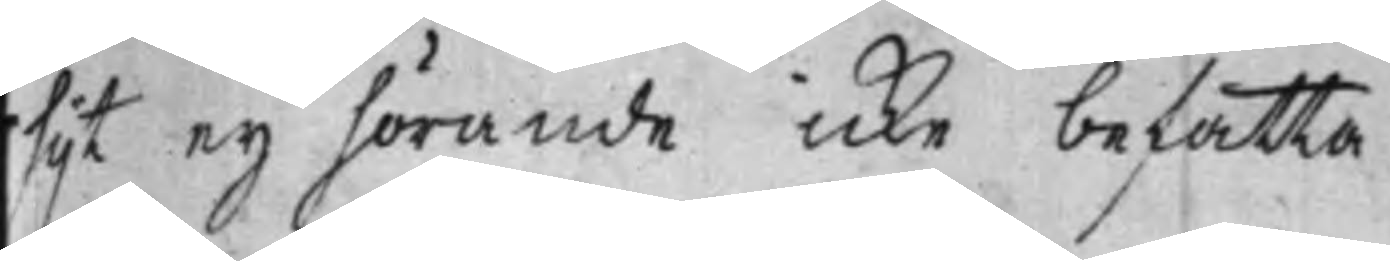hijt ey hörande icke befatta.
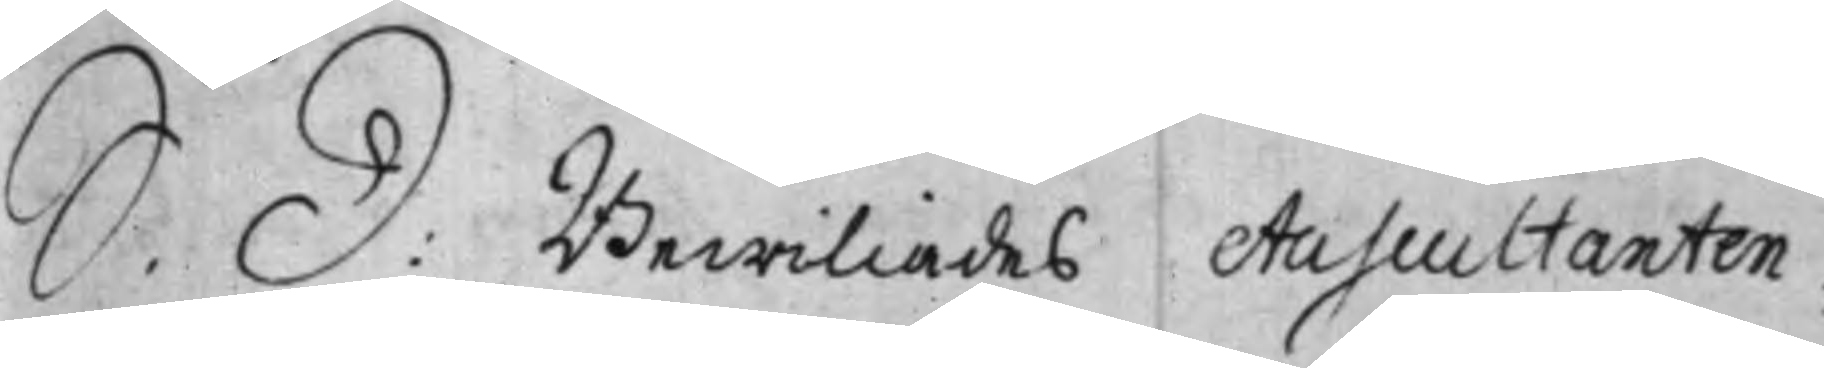S. D: Bewiliades Auscultanten,
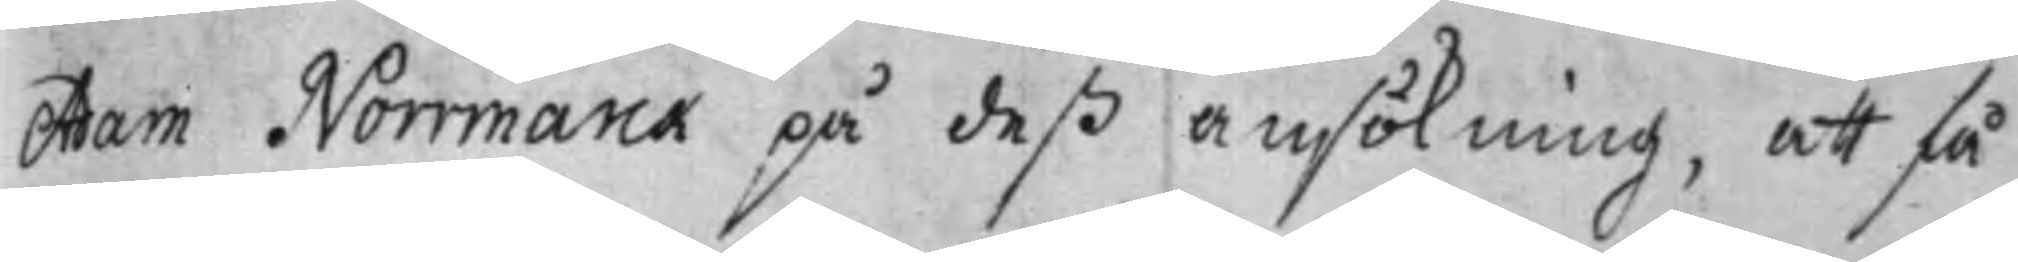Adam Norrmarck på deß ansökning, att få
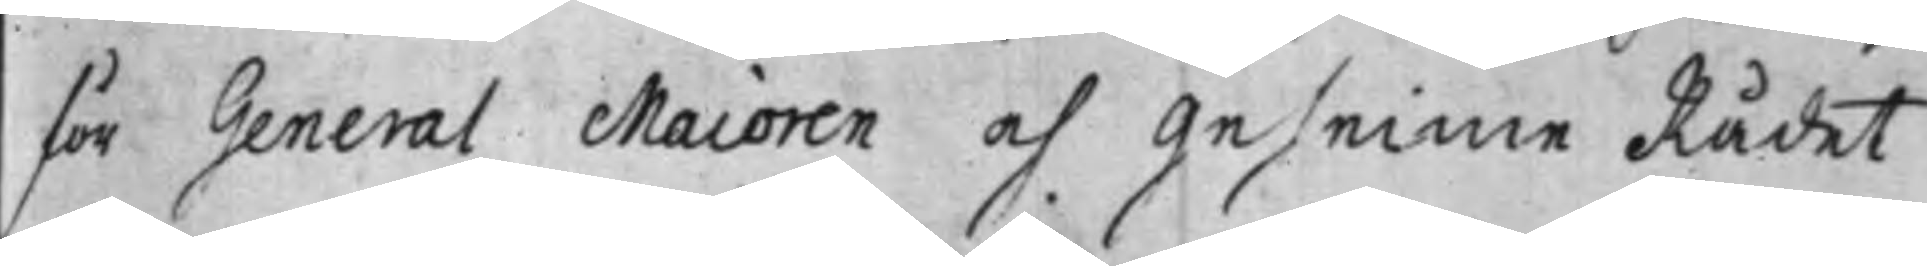för General Maioren och Geheime Rådet
